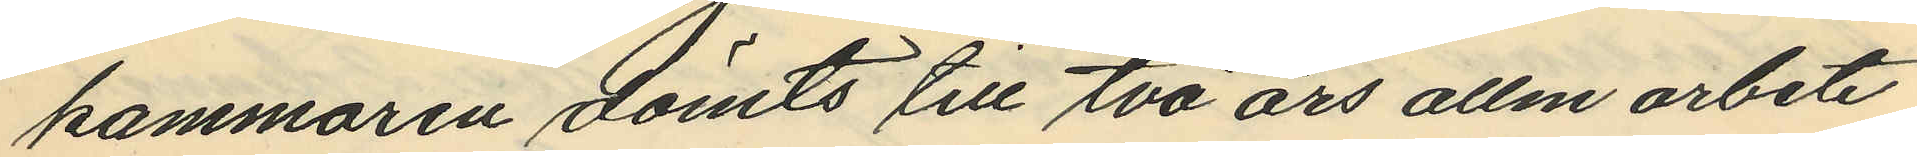kammaren dömts till två års allm arbete
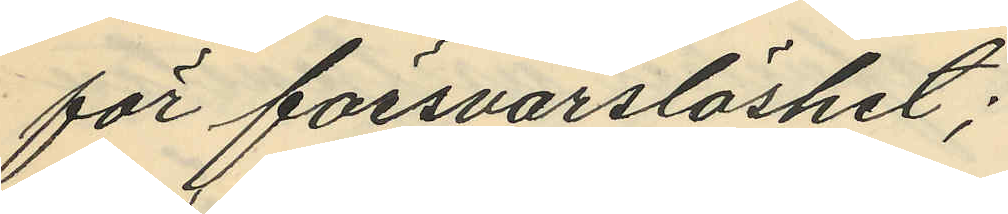för försvarslöshet;
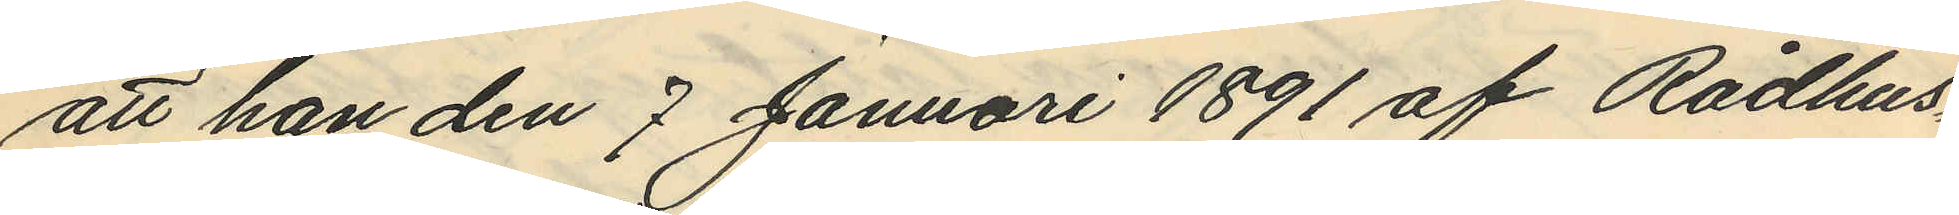att han den 7 Januari 1891 af Rådhus¬
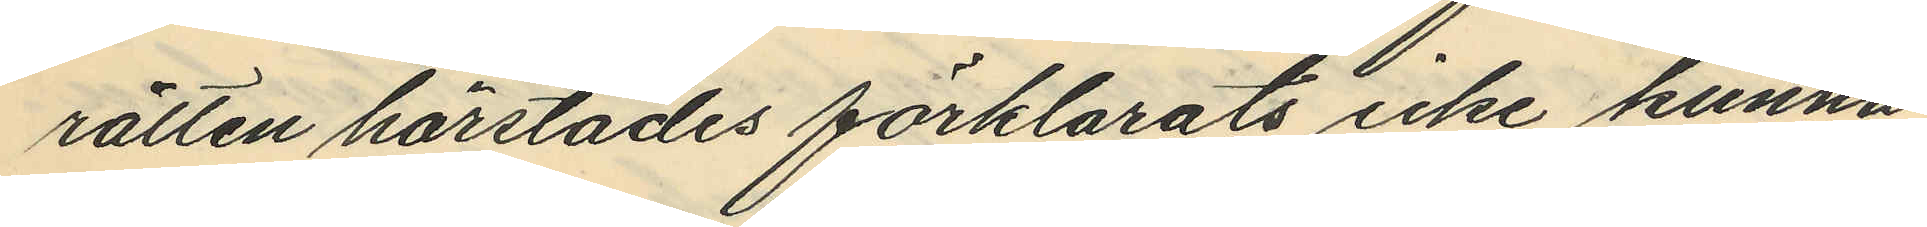rätten härstädes förklarats icke kunna
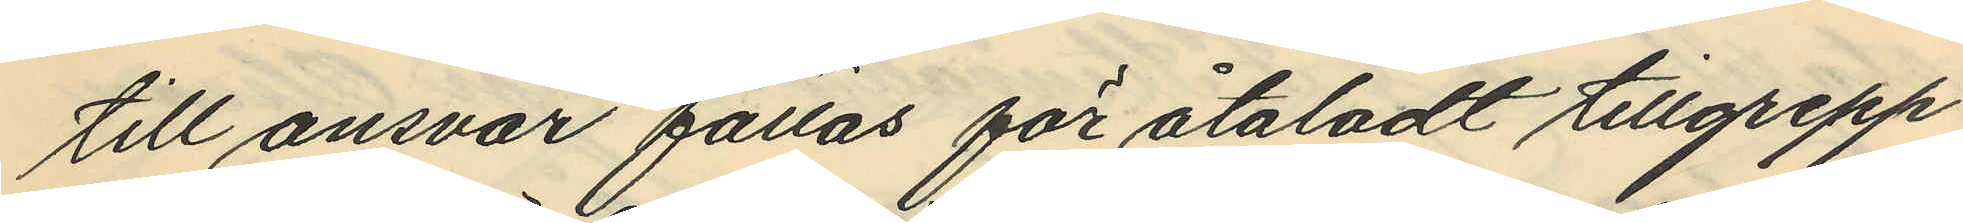till ansvar fattas för åtaladt tillgrepp
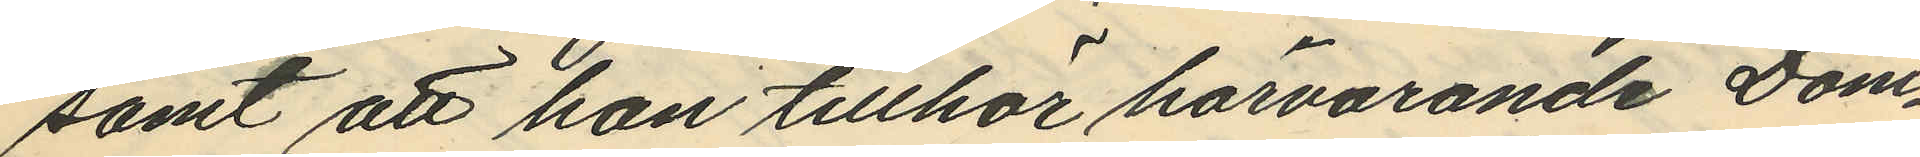samt att han tillhör härvarande Dom¬
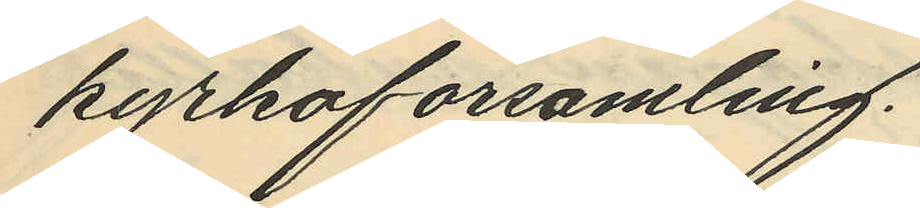kyrkoförsamling.
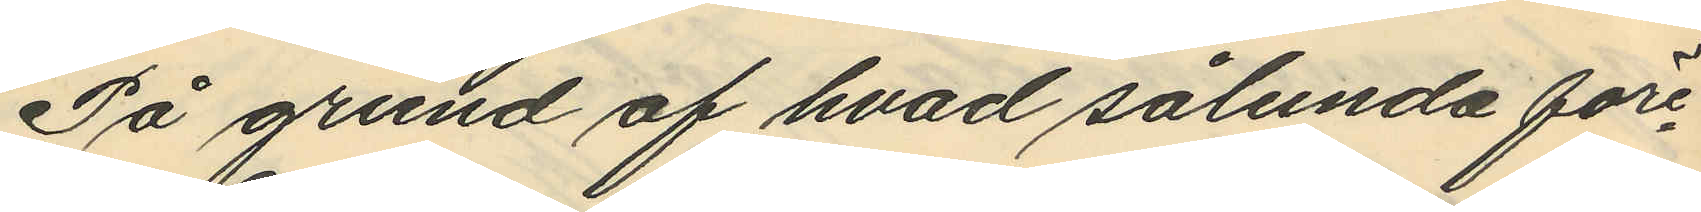På grund af hvad sålunda före¬
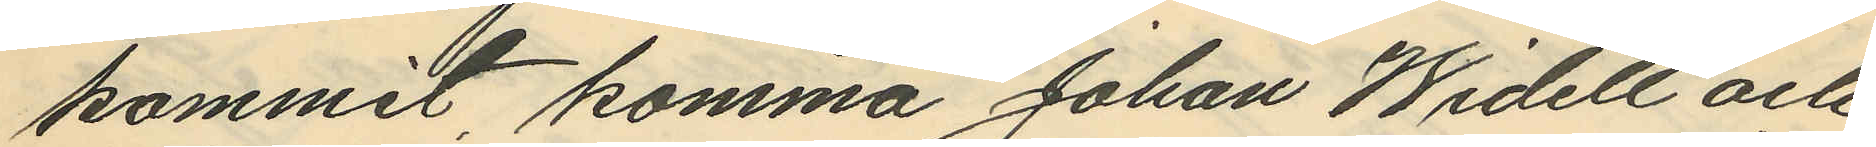kommit komma Johan Widell och
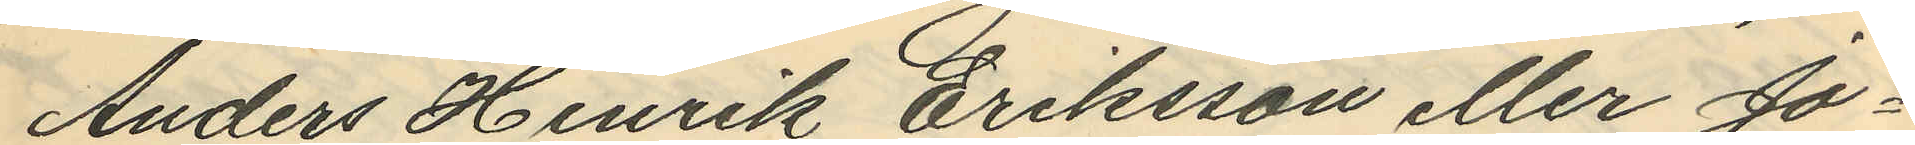Anders Henrik Eriksson eller Jo¬
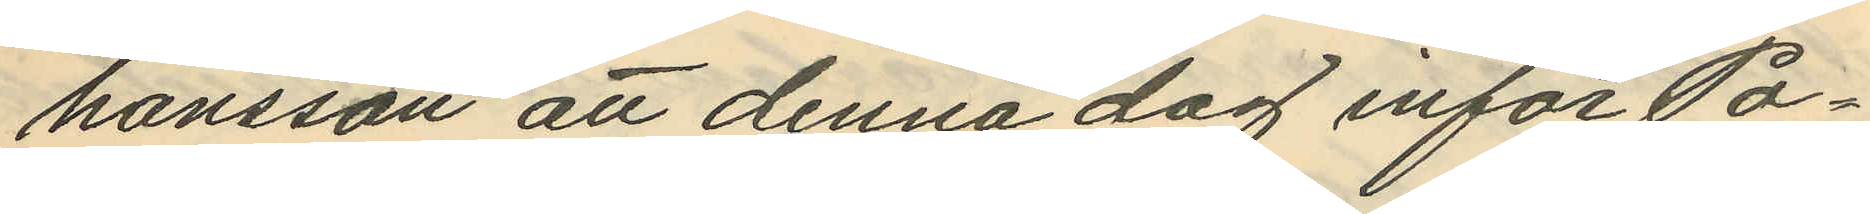hansson att denna dag inför Po¬
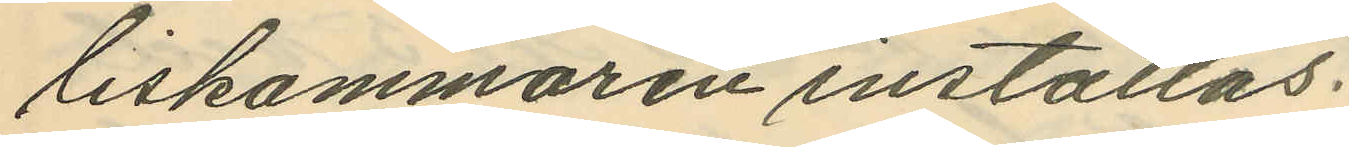liskammaren inställas.
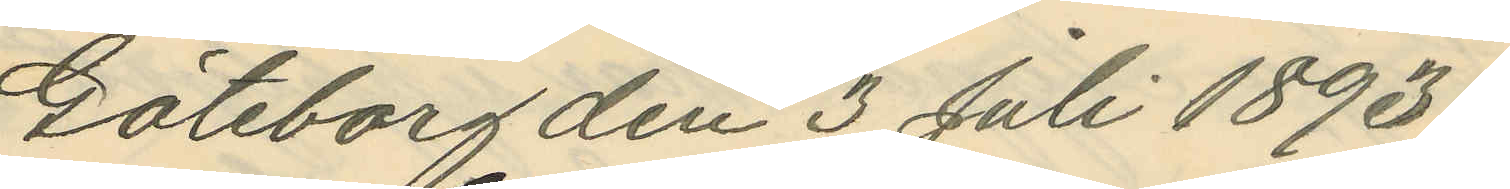Göteborg den 3 Juli 1893.
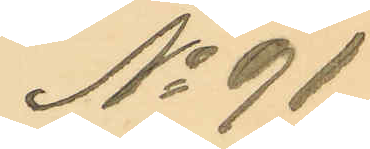No 91.
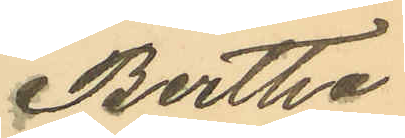Bertha
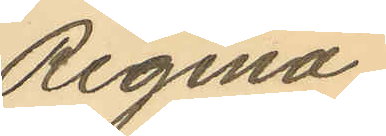Regina
